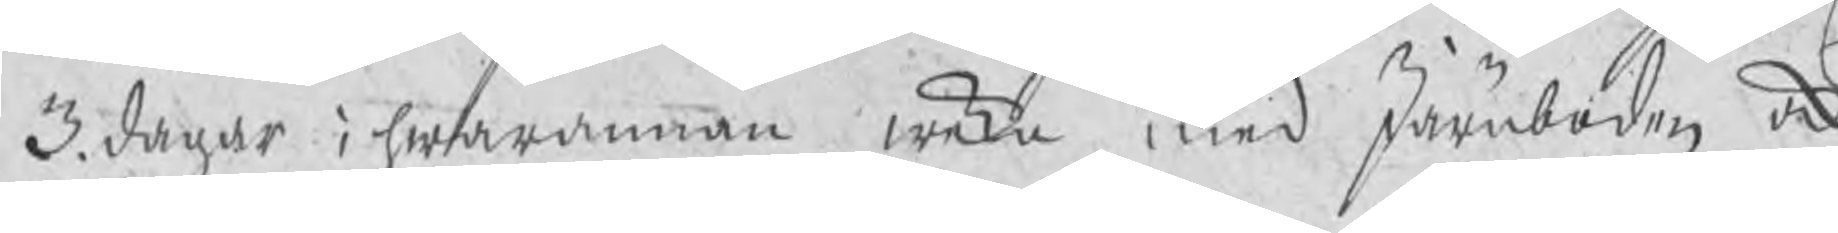3. dagar i hwarannan weka, med Järnboden ock
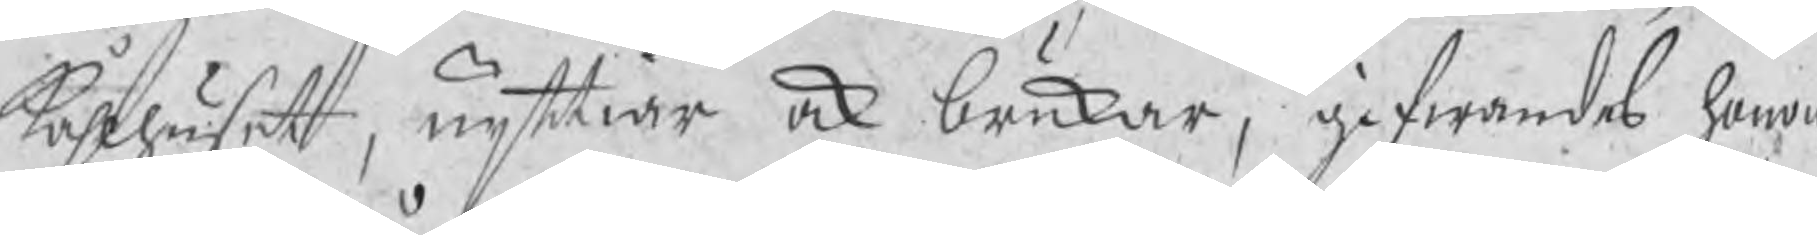Kåhlhuset, nyttiar ock brukar, gifwandes honom
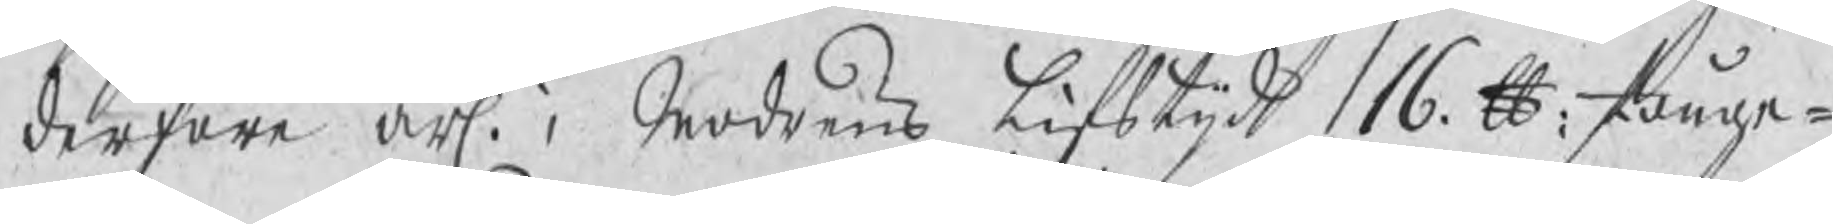derföre årl. i Modrens lifsyijd 16 ℔: stånge¬
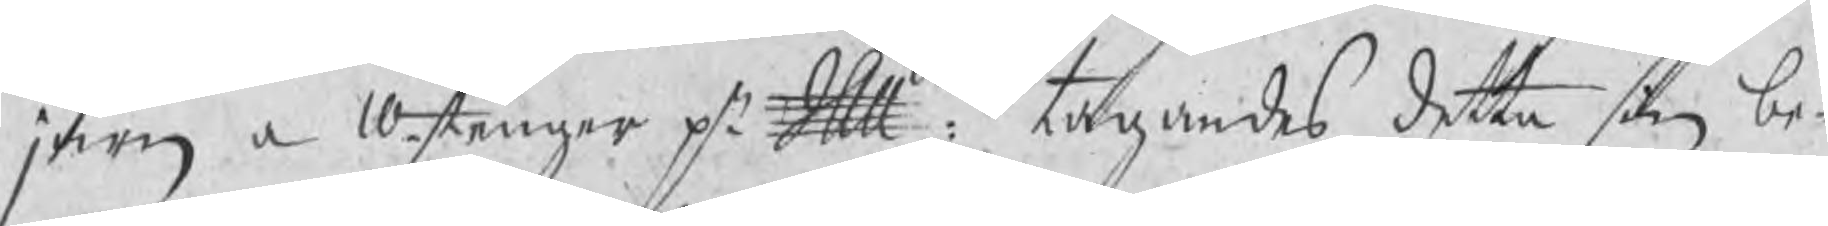järn a 10 stenger pr Skpdet: tagandes detta sin be¬
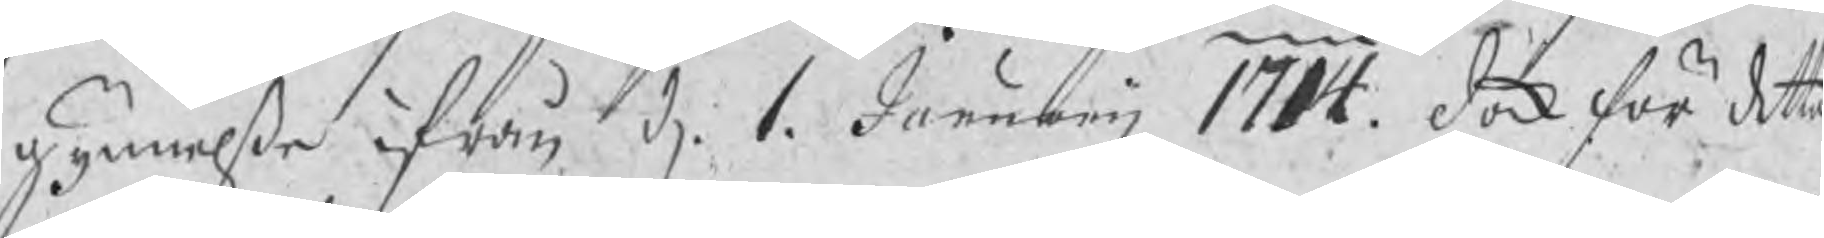gynnelße ifrån d. 1 Januarij 1714. dock för detta
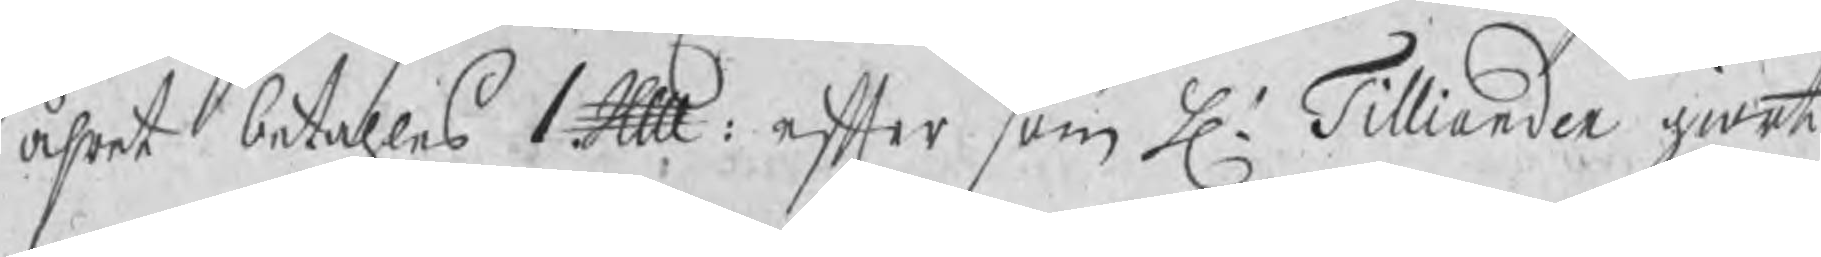åhret betahles 1 Skp: efter som H. Tilliander giort
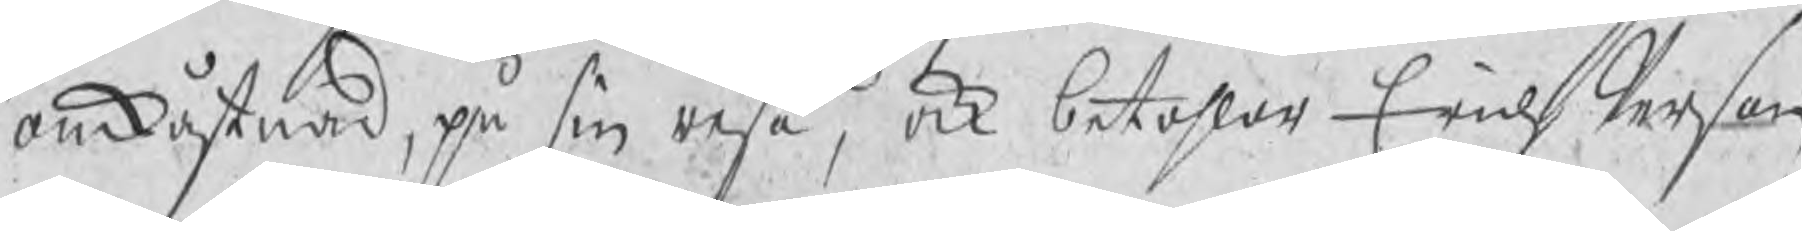omkåstnad, på sin resa, ock betahlar Erich Person
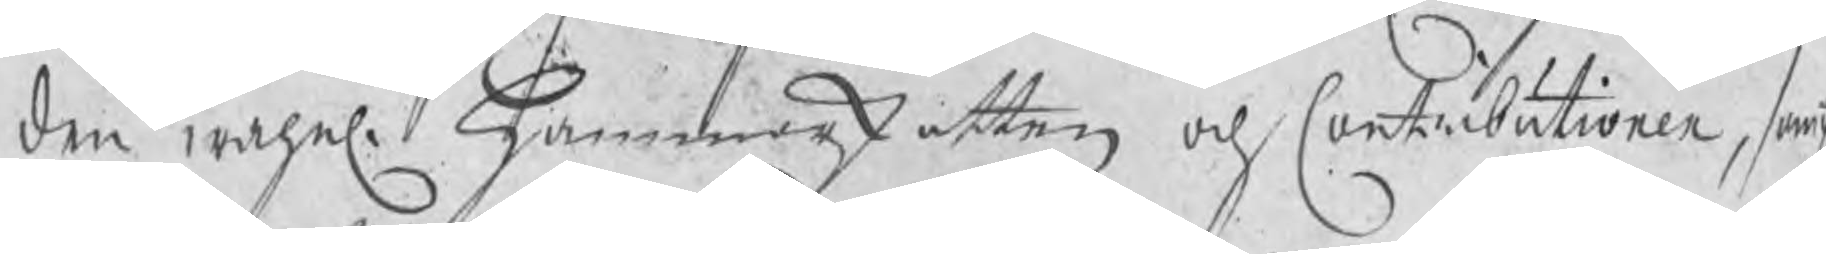den wahnl: Hammarskatten och Contributionen, sampt
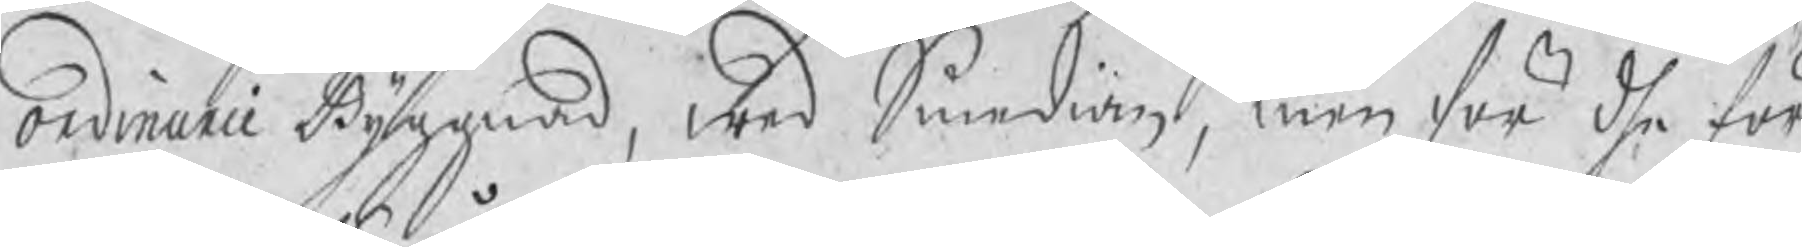ordinarie Byggnad, wed Smedian, men för dhe för¬
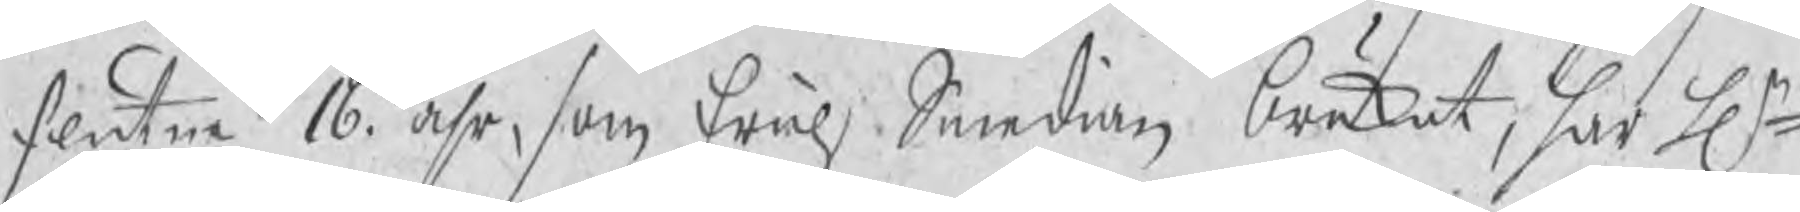flutne 16 åhr, som Erich Smedian brukat, har Hr
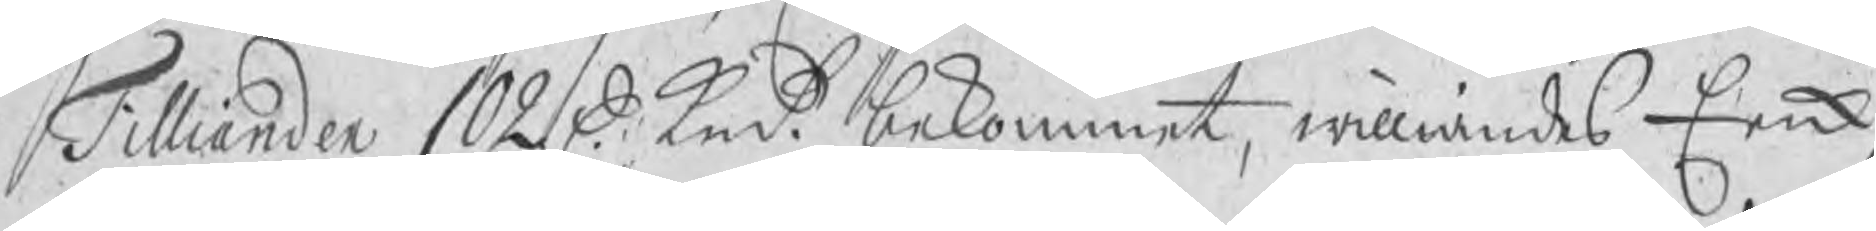Tilliander 102 D kmt bekommit, williandes Erick
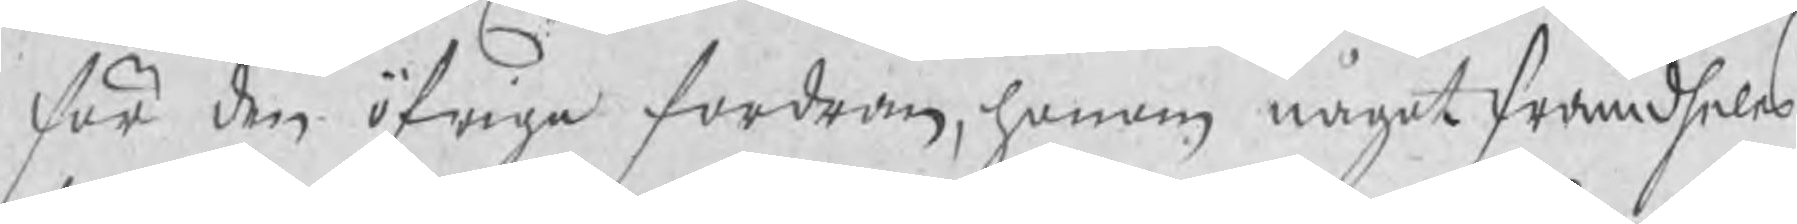för den öfriga fordran, honom något framdheles
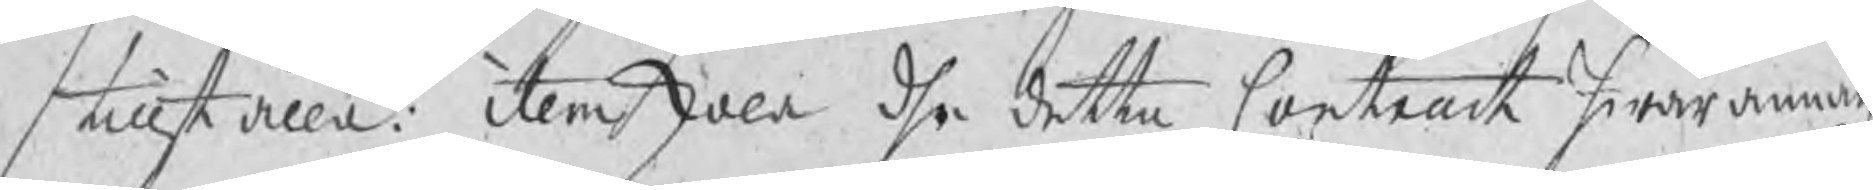tillställa: item skall dhe detta Contant hwarannan
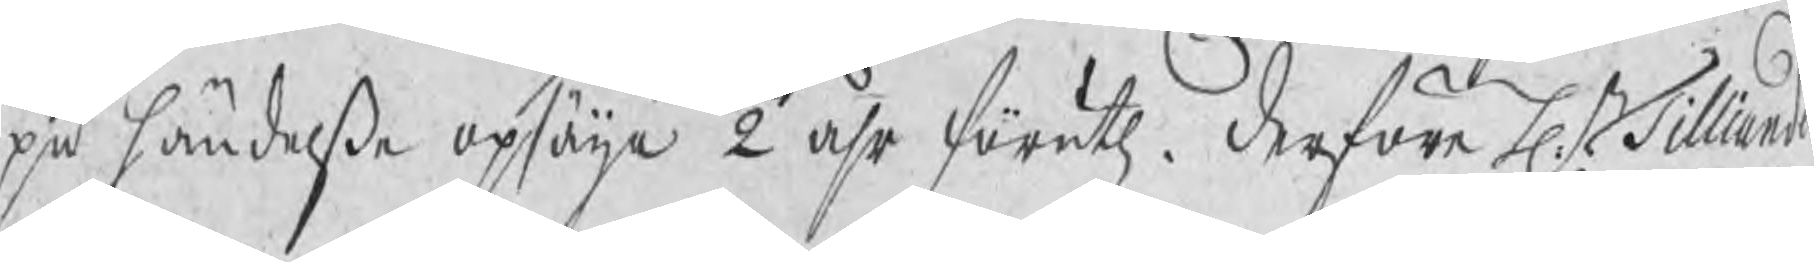på händelße opsäija ½ åhr föruth. Derföre Hr Tilliander
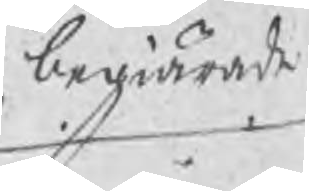begiärde
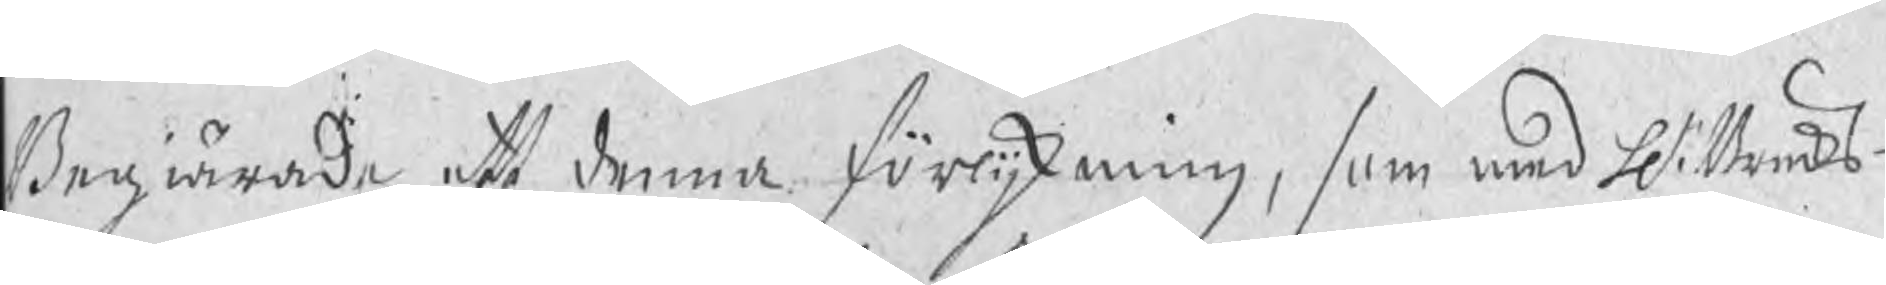Begiärde att denna förlijkning, som med H. Bruks¬
